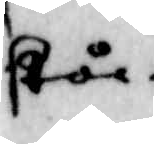står.
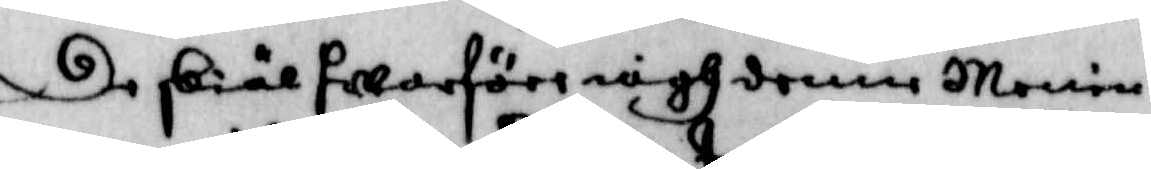De skiäl hwarföre iagh denne Menin¬
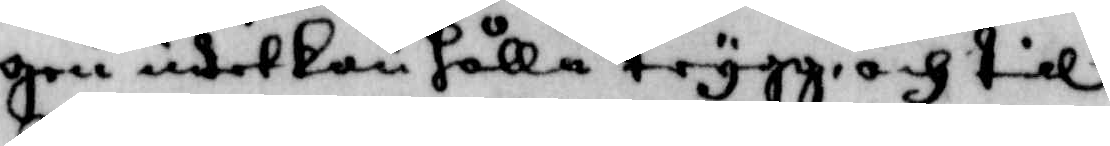gen intet kan hålla tryggare, och till
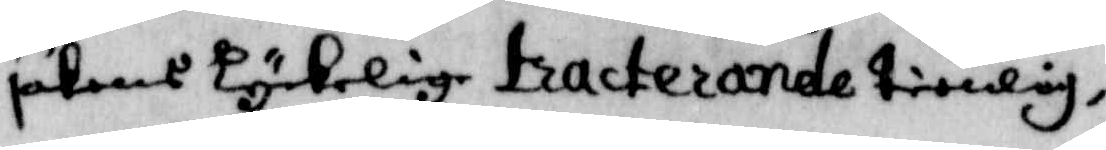sakens kyrkeloge tracterande tienlig,
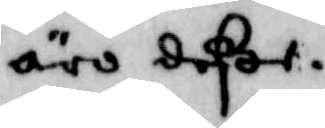äro deßer.
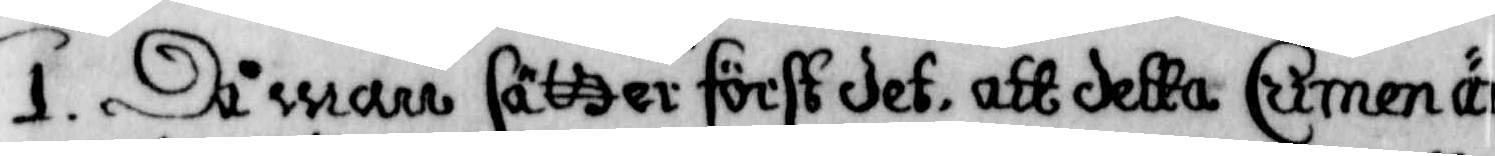1. Då warr sätter först det, att detta Cumen är
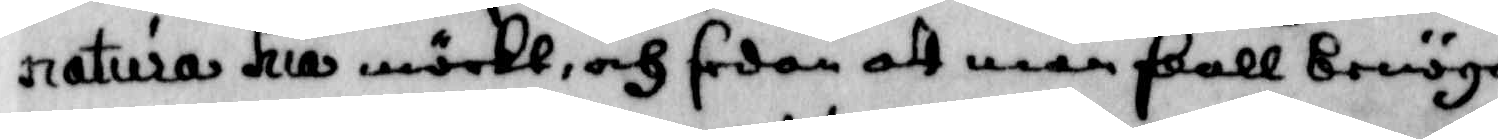natura hua märkt, och sedan att man skall Benöga
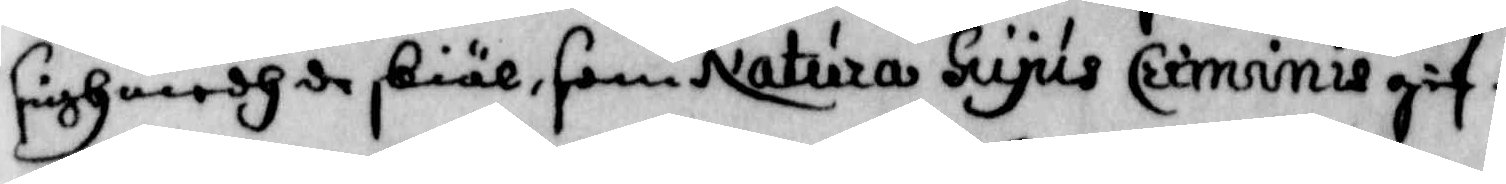sigh medh de skiäl, som Natura Hupls Criminie gif¬
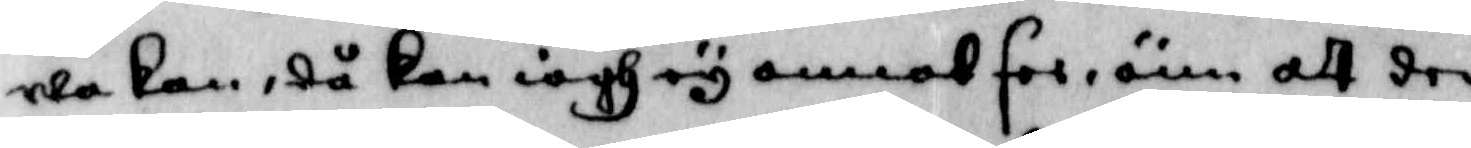wa kan, då kan iagh ey annat for, änn att der
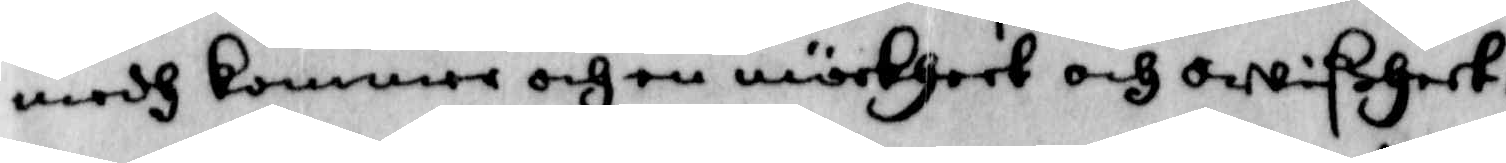medh kommer och en mörkheet och owißheet,
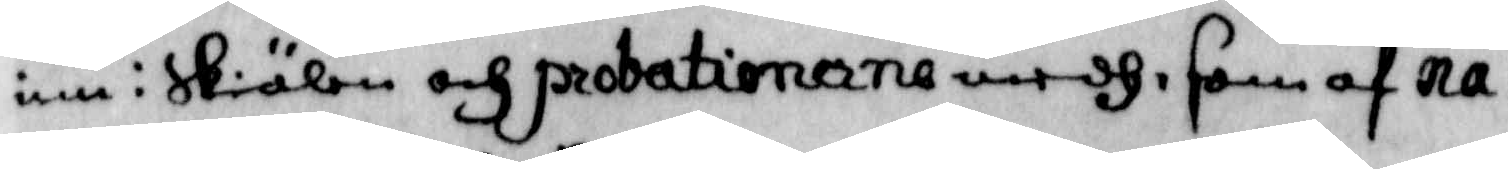in i Skiälen och probatioerne medh, som af na¬
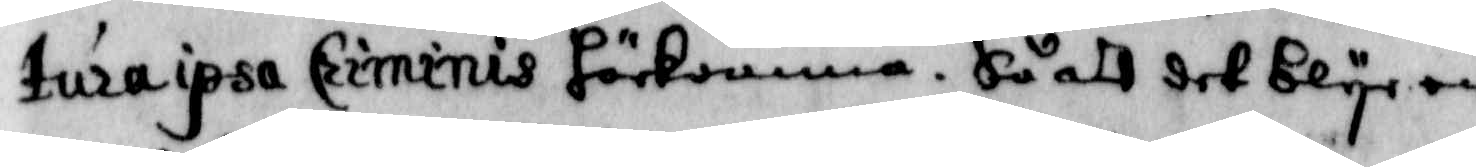tura ipsa Criminis förlomma, Så att det blywer
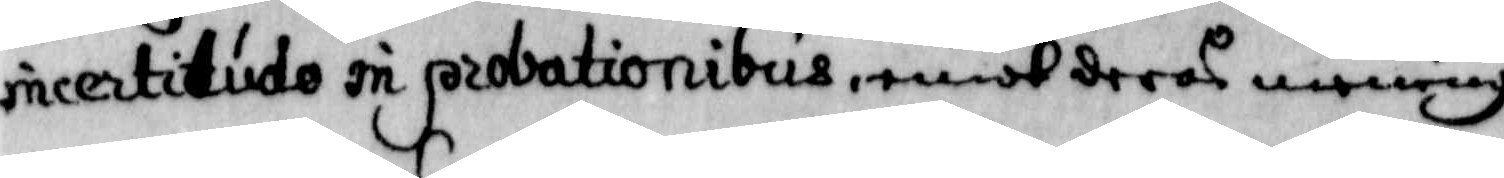incertitude in probationibus, emot deras mening
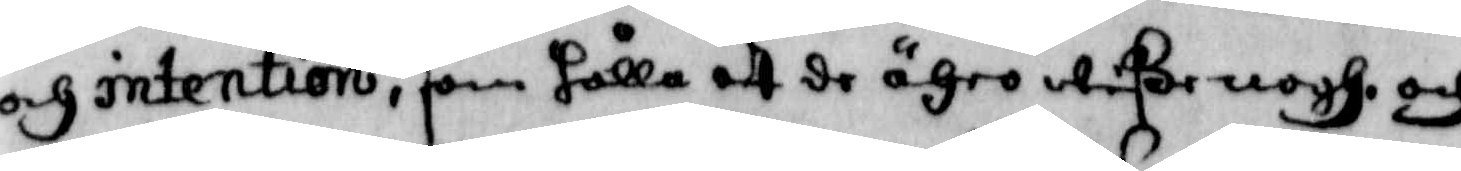och intention, som hålla att de ähro wiße nogh, och
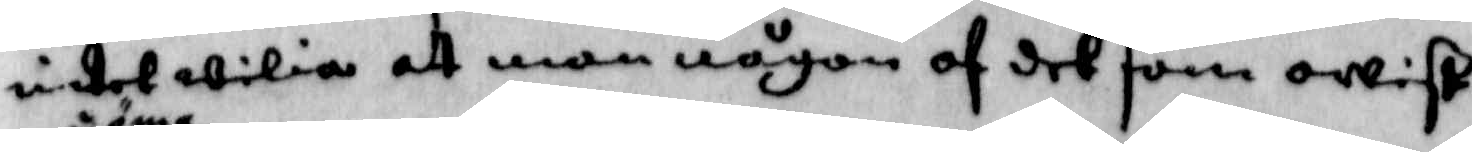intet wilia att man någon af det som owist
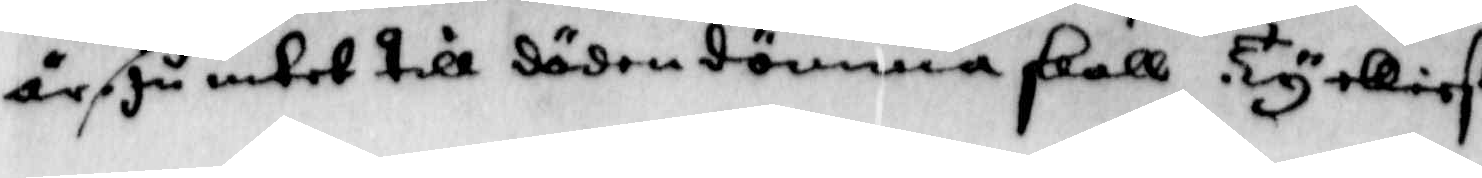är döma, Ju intet till döden dömma skall. Ty elliest
